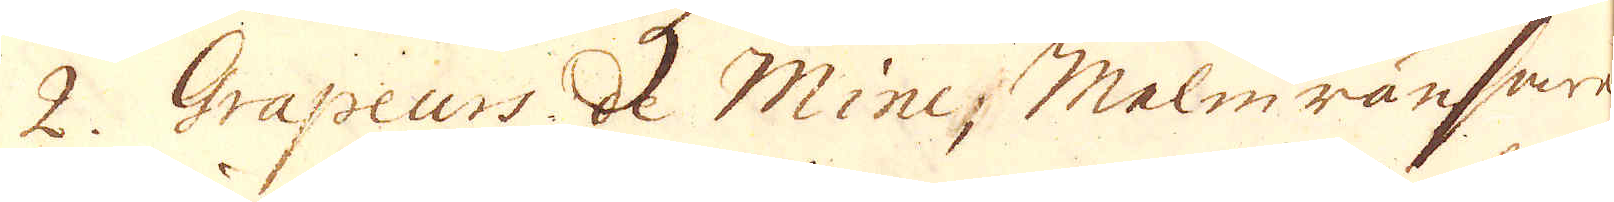2. Grapeurs de Minc; Malmränsare
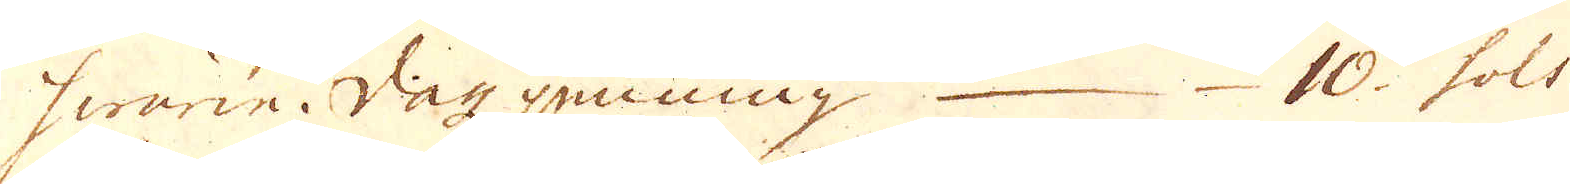hwarie Dag penning 10 sols
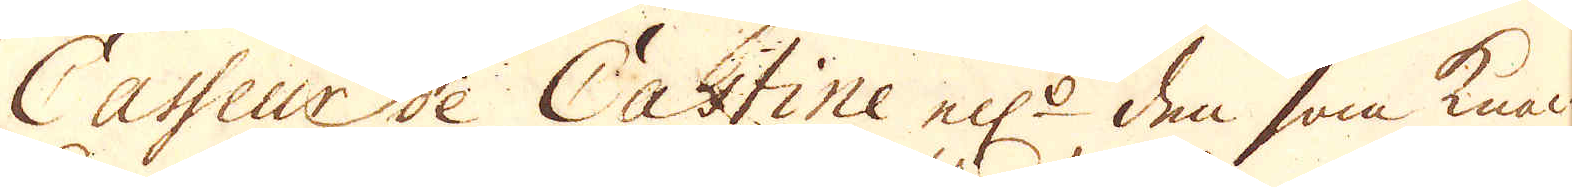Casseaur de Castine el:r den som knac-
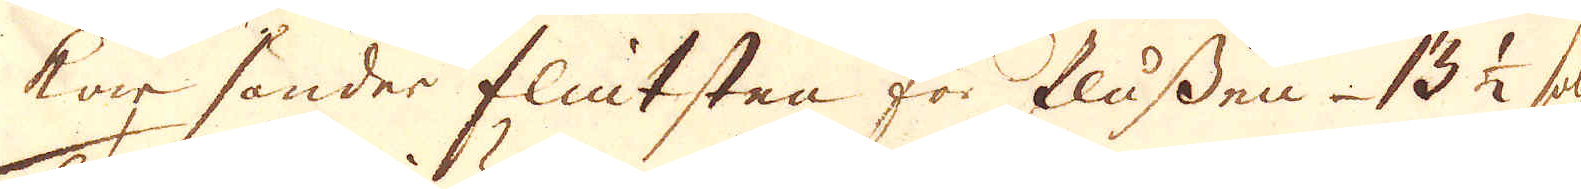kar sönder flintsten för flussen 13 1/2 sols
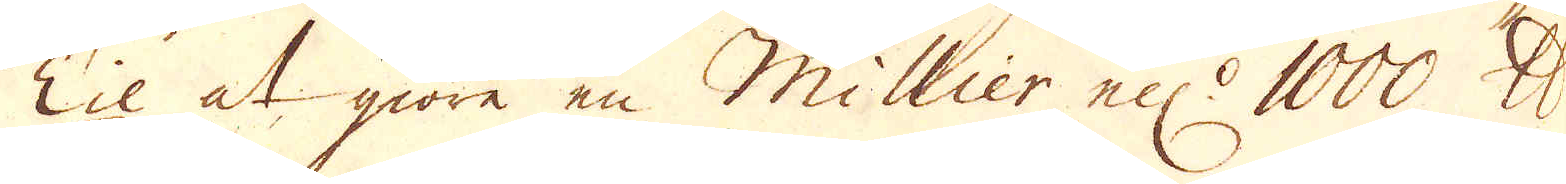Til at giöre en Millier ell:r 1000 skålpund
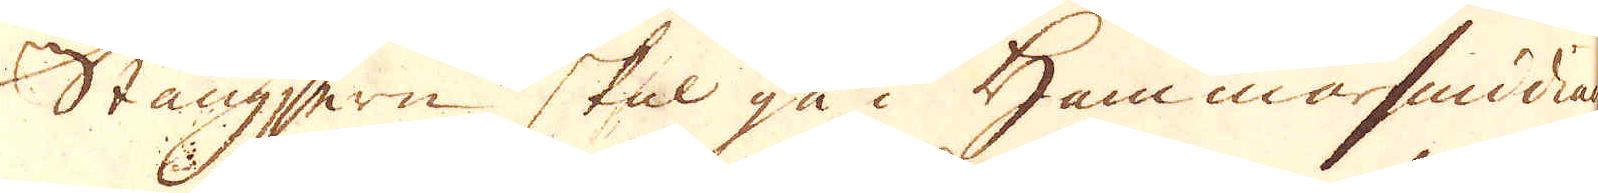Stångjern skal gå i Hammarsmidian
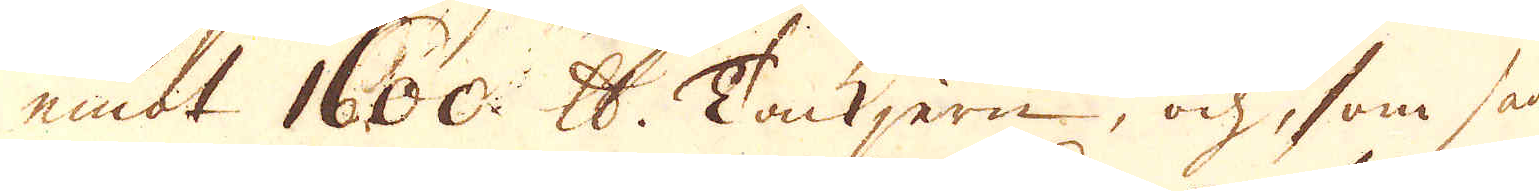emot 1600 skåpund Tackjern, och, som hade
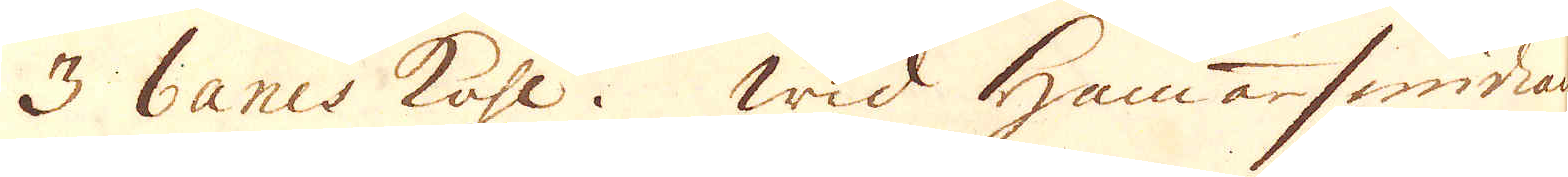3 bancs Kohl. Wid Hammarsmidian
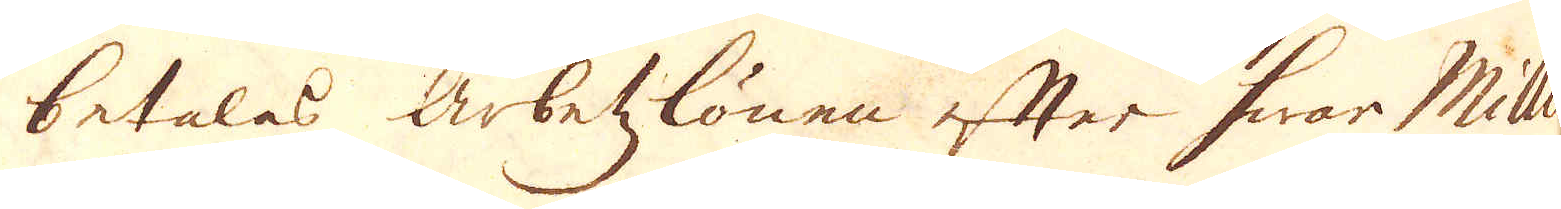betalas arbetzlönen efter hwar Millier.
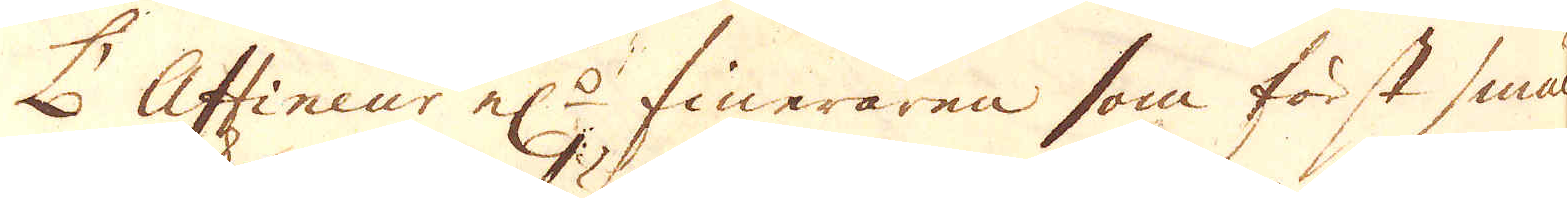L'Affineur el:r fineraren som först smäl-
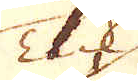Tack
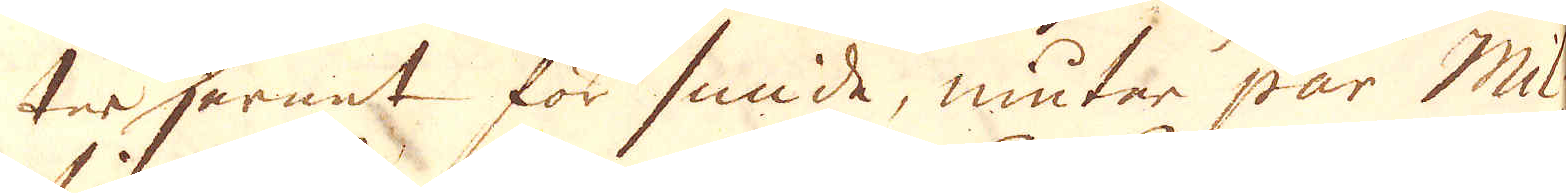ter Jernet för smide, niuter par Mil-
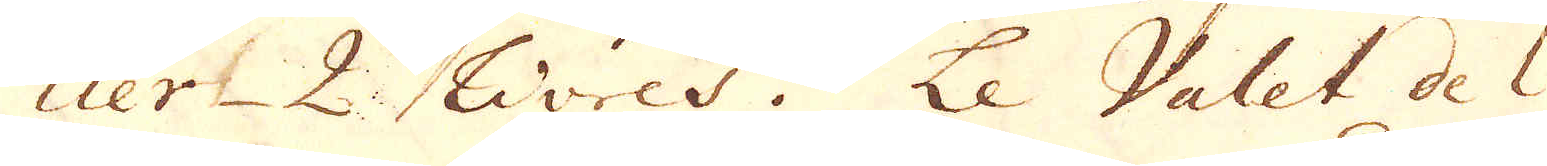lier 2. Livres. Le Valet de l'
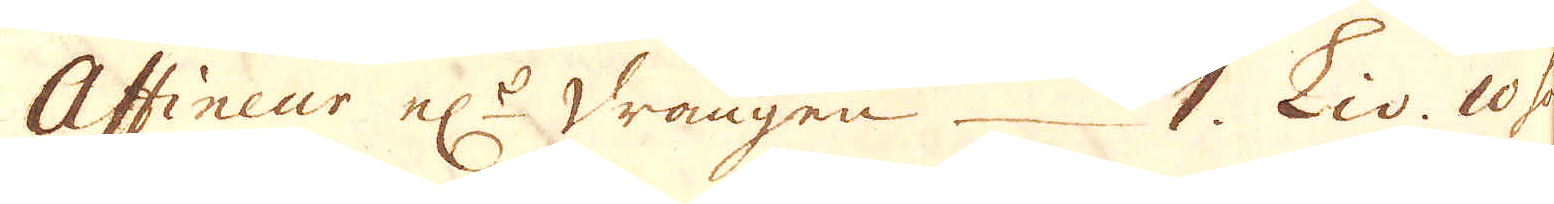Assineur el:r drängen 1. Liv. 10 sols
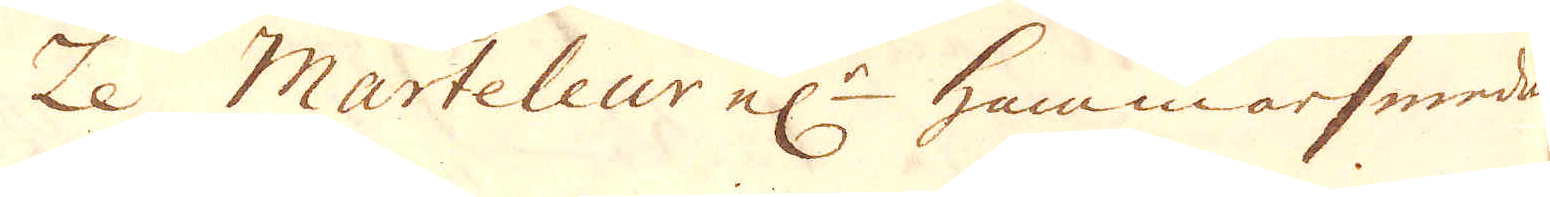Le Marteleur el:r hammarsmeden
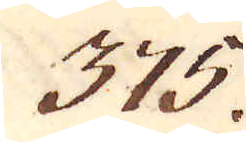375.
